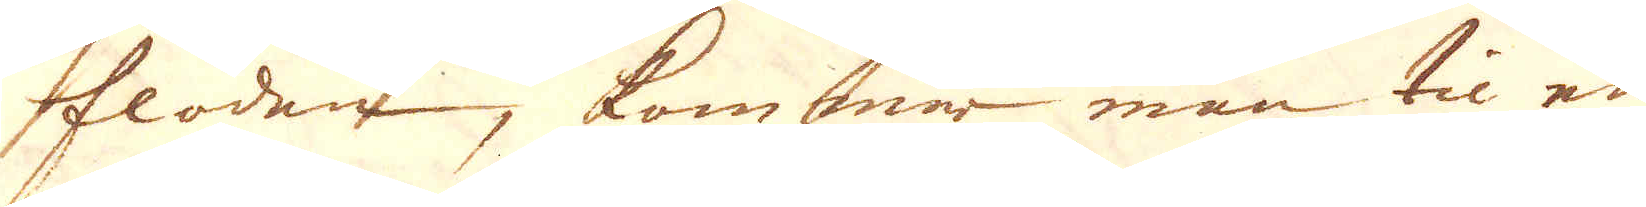floden, kommer man til en
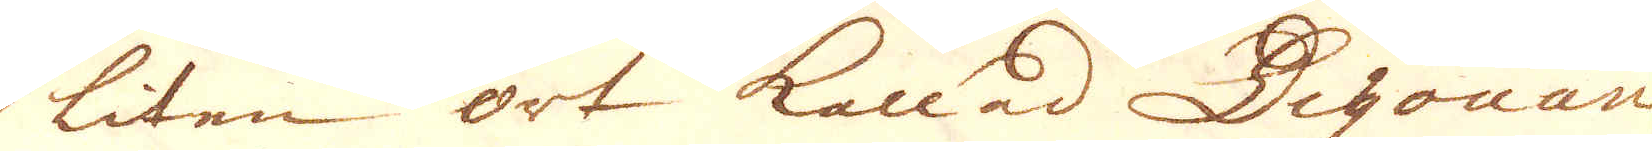liten ort kallad Digouan
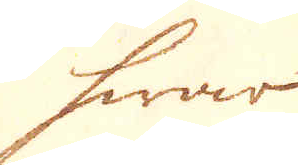hwar
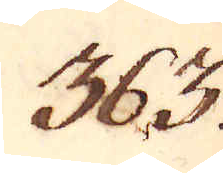363.
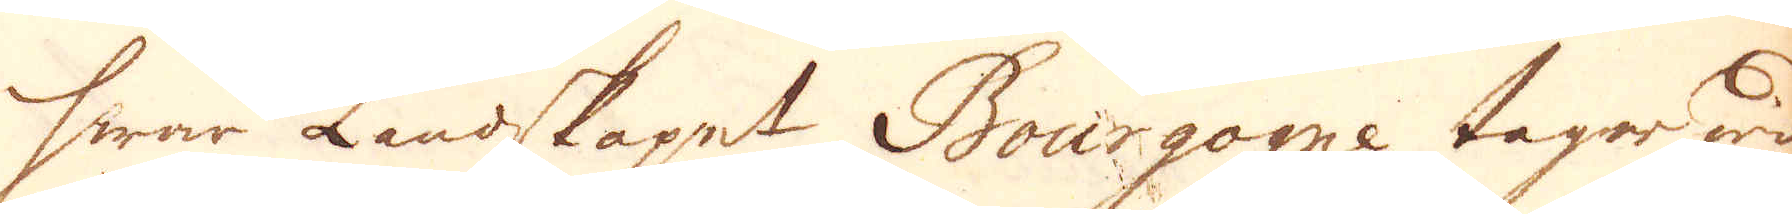hwar Landskapet Bourgogne tager wid
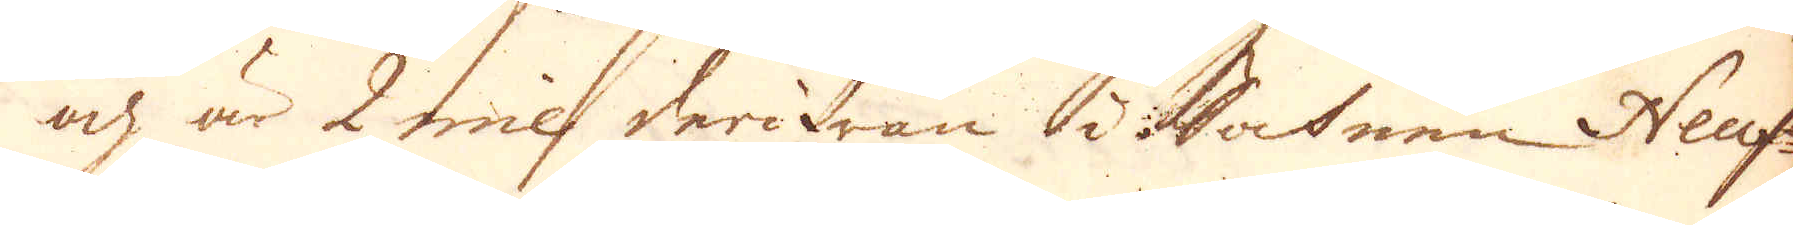och är 2 mil derifrån i Sochnen Neuf-
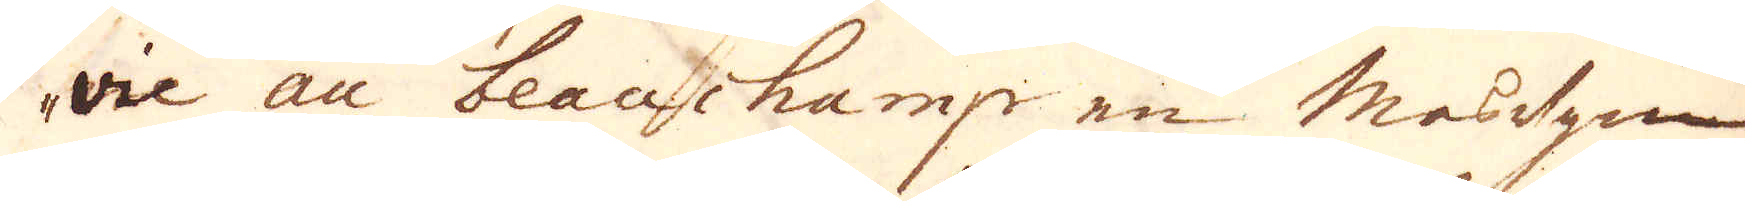vie au beauchamp en Masugn
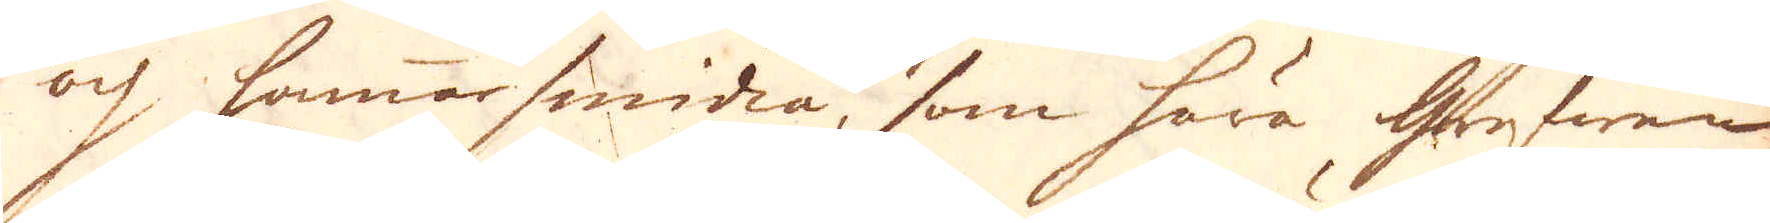och hammarsmidia, som höra Grefwen
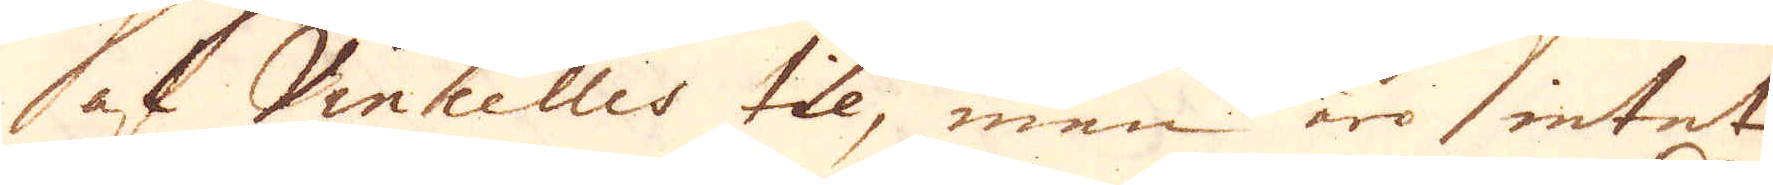af Vincelles tll, men äro intet
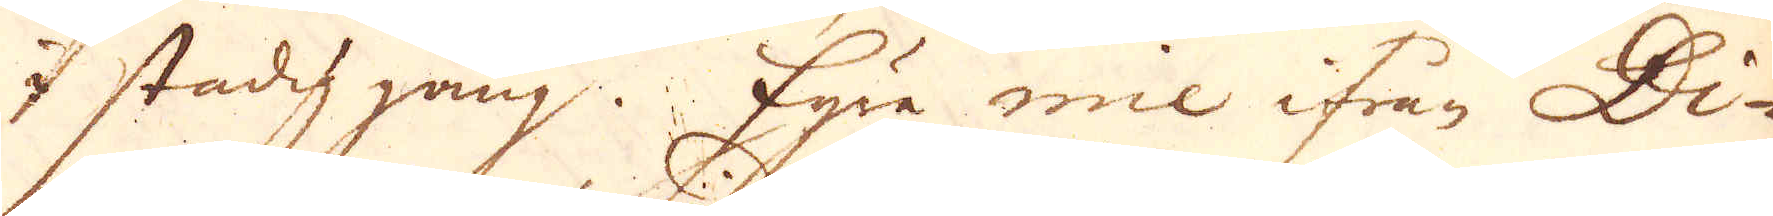I stadig gång. Fyra mil ifrån Di-
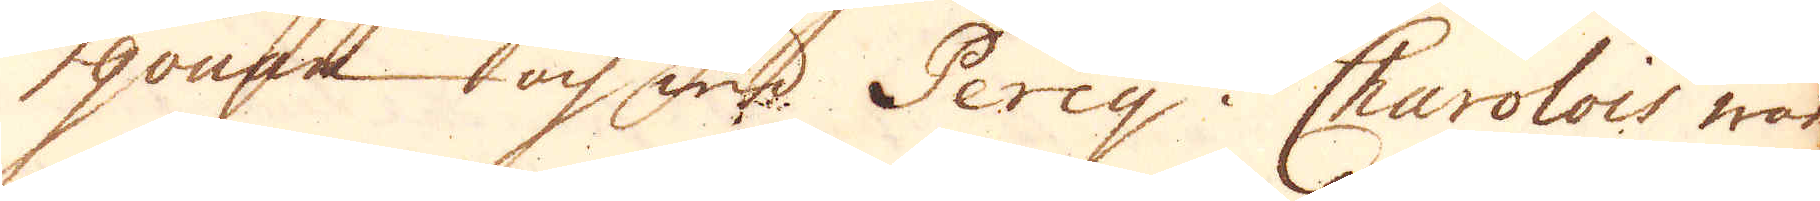gouan och wid Percy i Charolois war
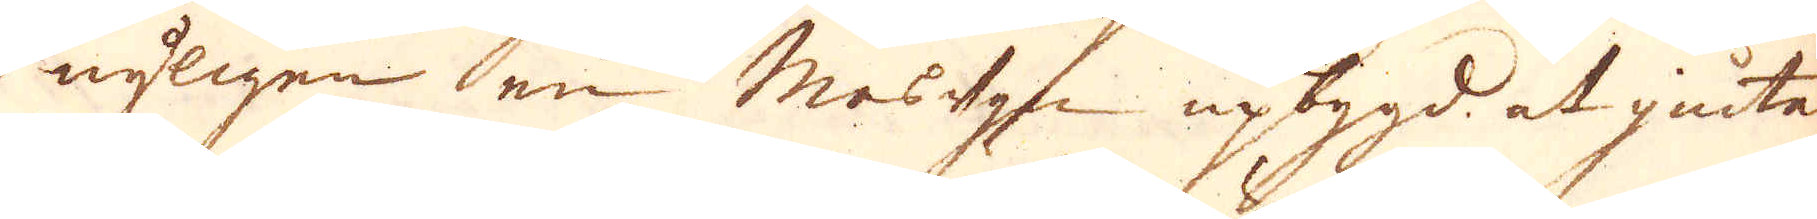nyligen en Masugn upbygd at giuta
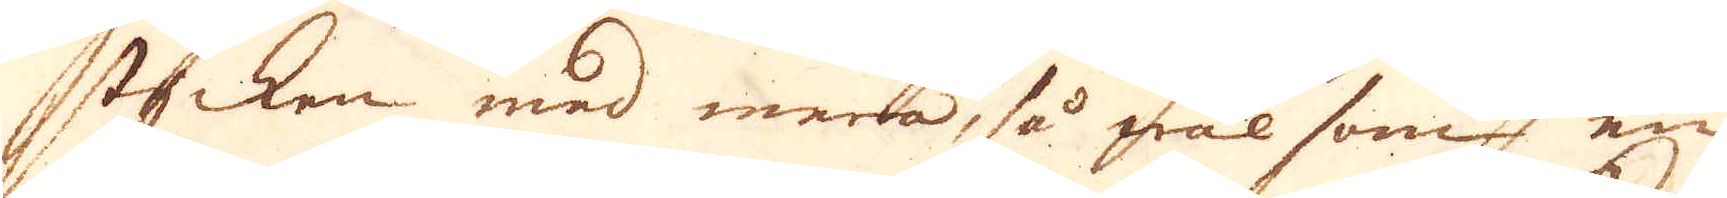stycken med mera, så wäl som en
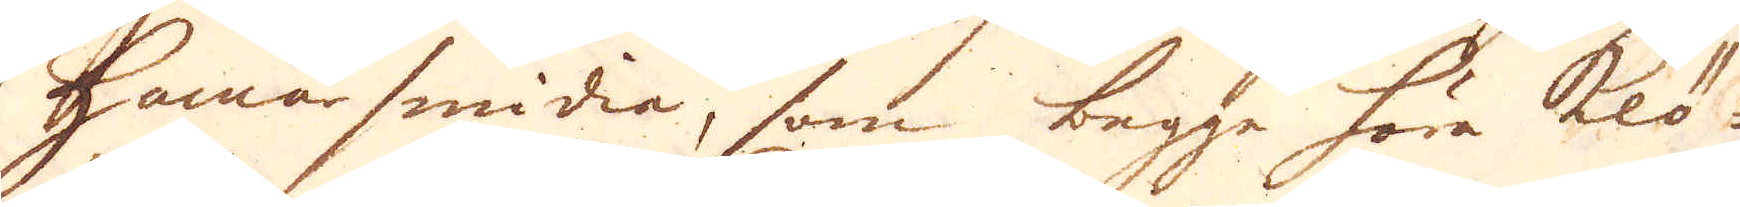Hammarsmidia, som begge höra Klö-
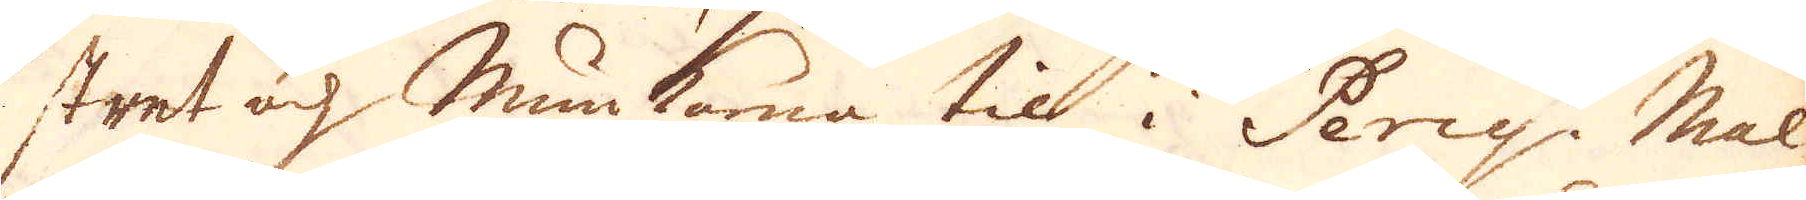stret och Munkarna til i Percy. Mal-
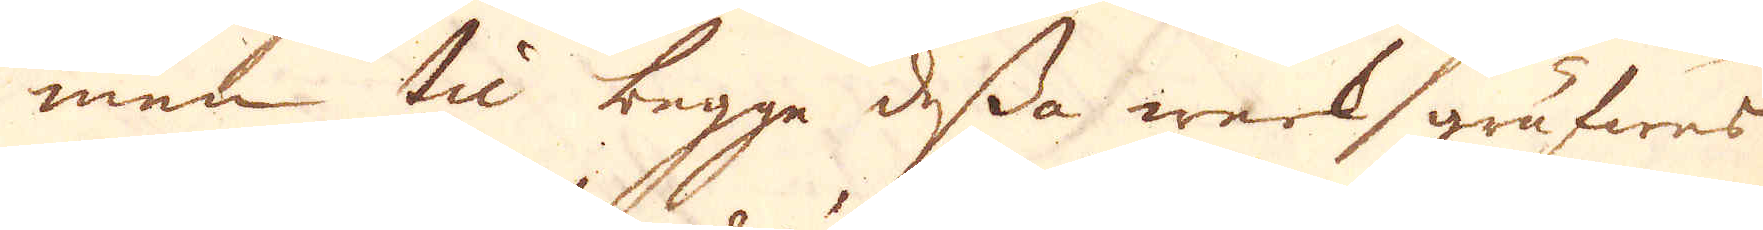men til begge dessa werk gräfwes
